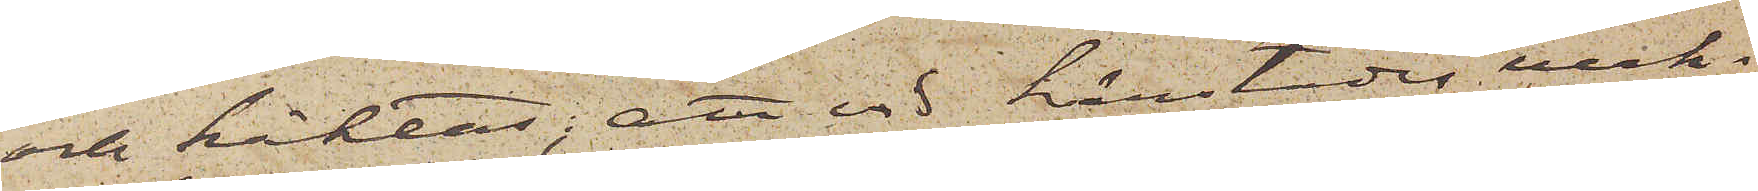och häktas; att vid härstädes verk¬
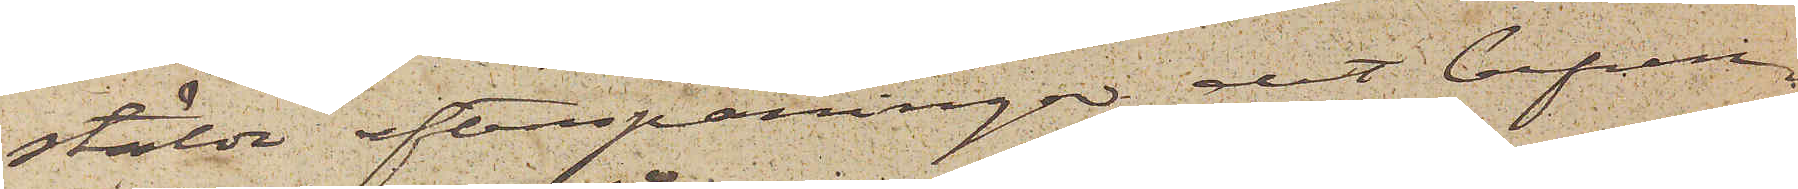stälda efterspaningar det befun¬
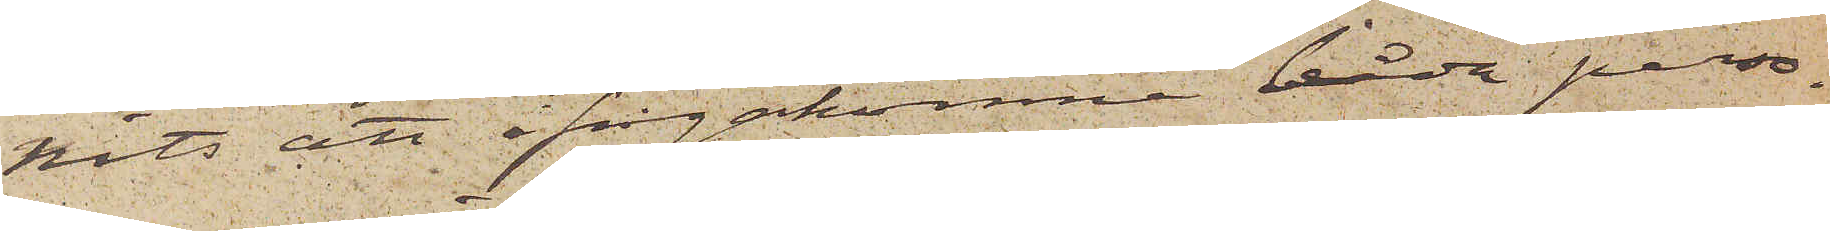pits att ifrågakomne båda perso¬
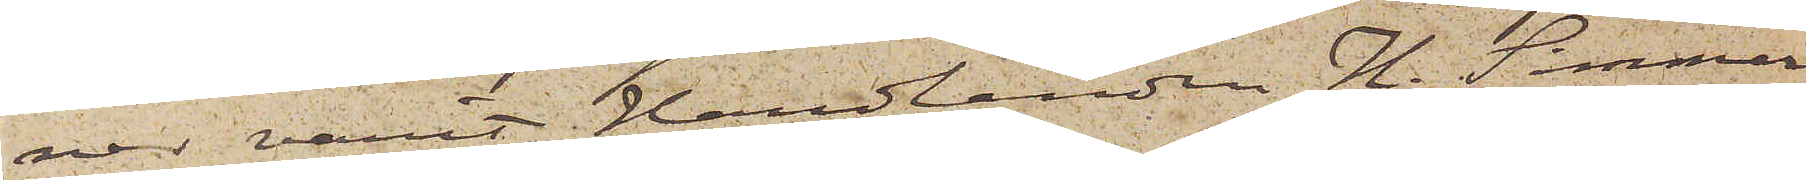ner varit handlanden H. Simmer¬
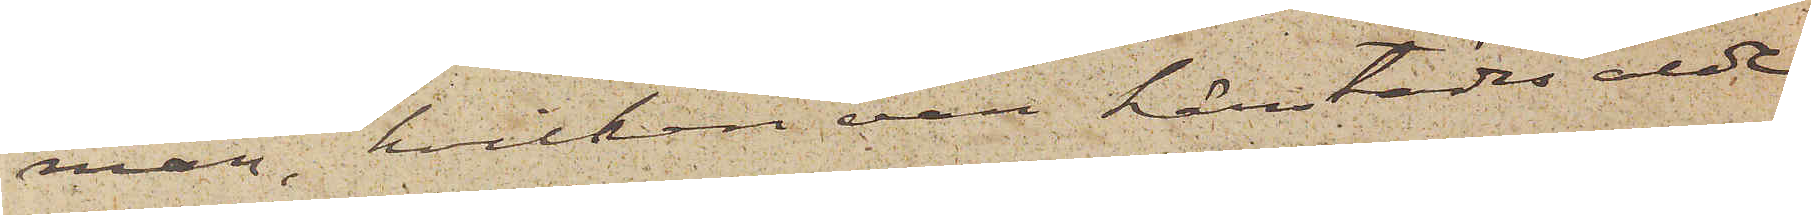man, hvilken var härstädes alde¬
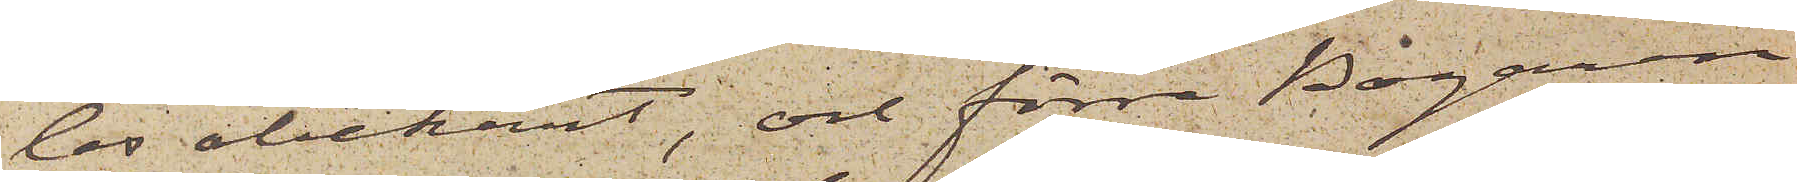les obekant, och förre Bagaren
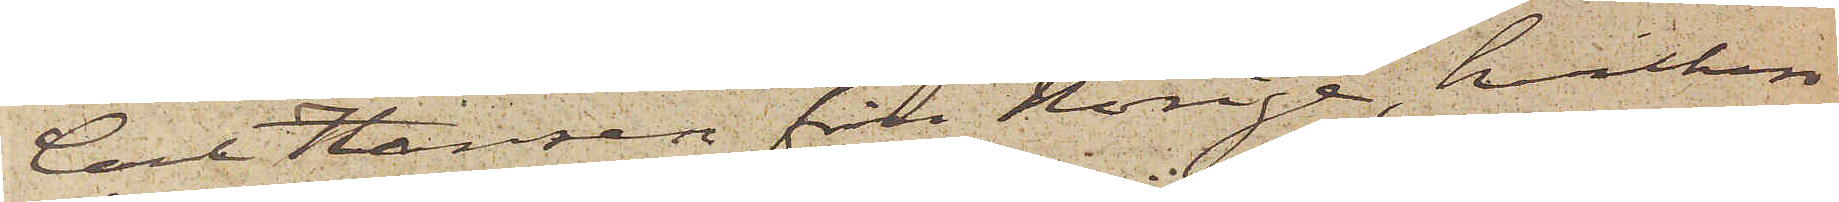Carl Hansen från Norige, hvilken
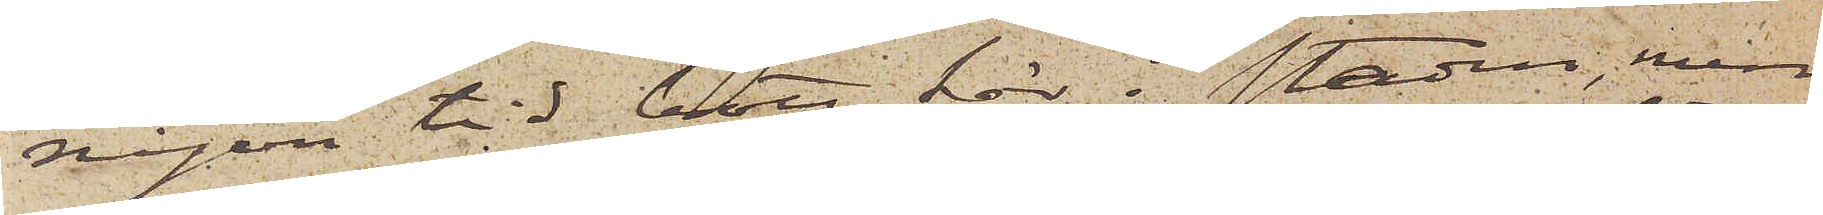någon tid bott här i staden, men
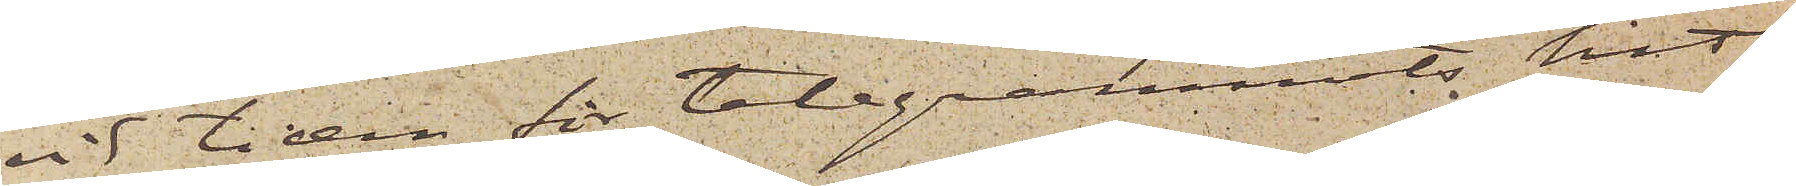vid tiden för telegrammets hit¬
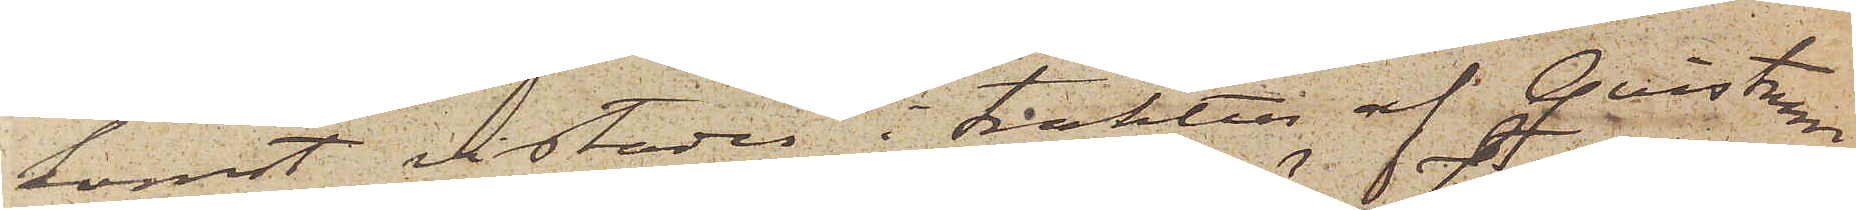komst vistades i trakten af Qvistrum
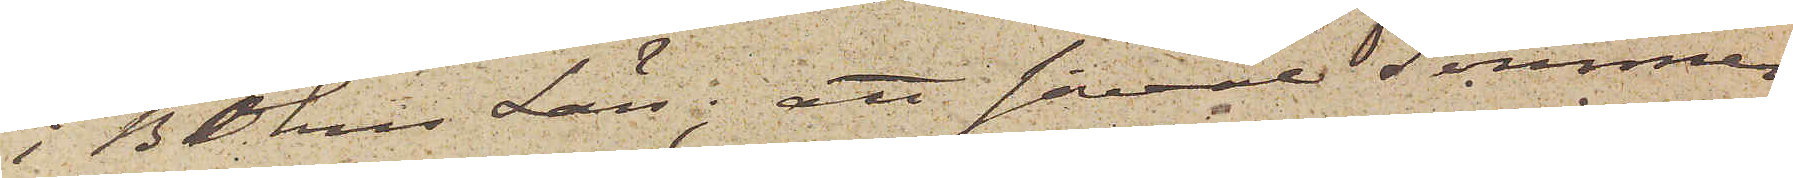i Bohus Län; att såväl Simmer¬
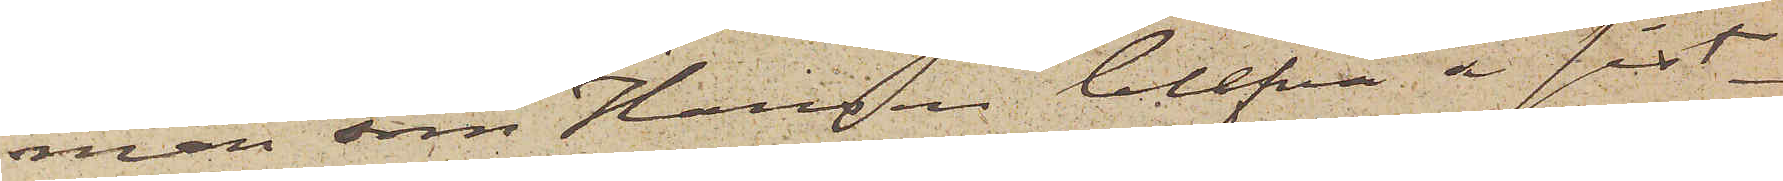man som Hansen blefvo å sist¬
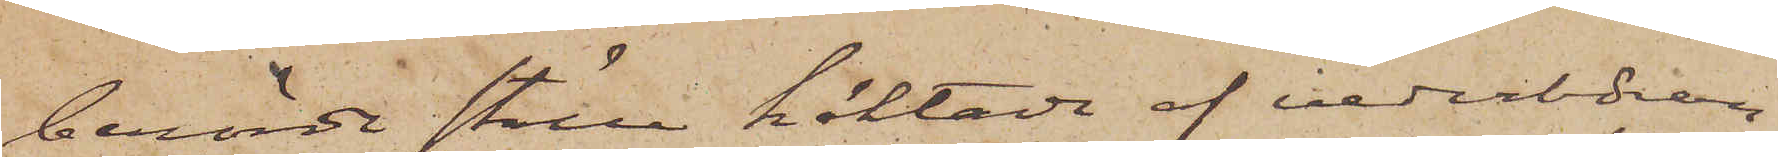berörde ställe häktade af vederböran¬
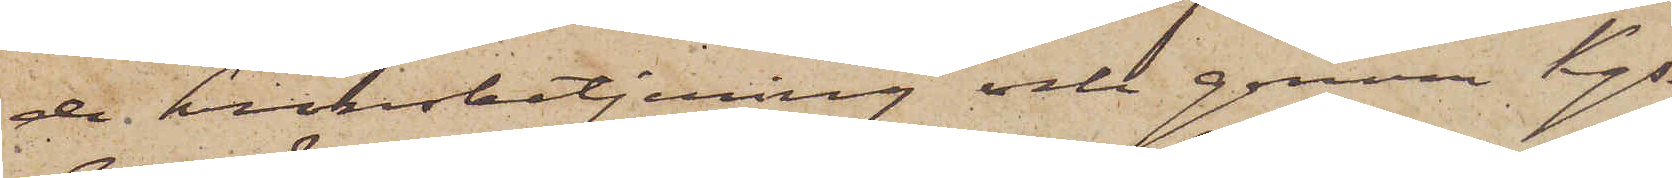de kronobetjening och genom Kgs
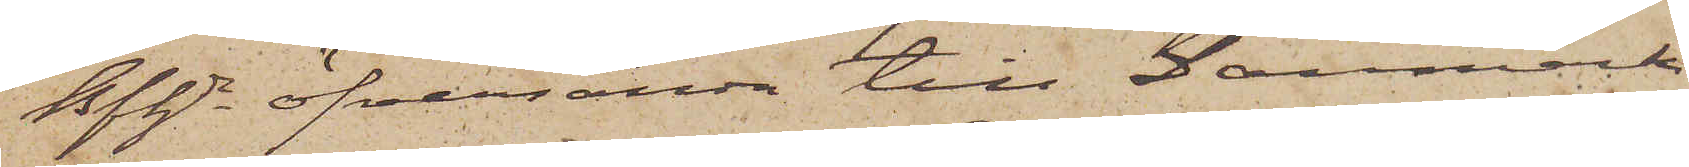Bfhde öfversända till Danmark;
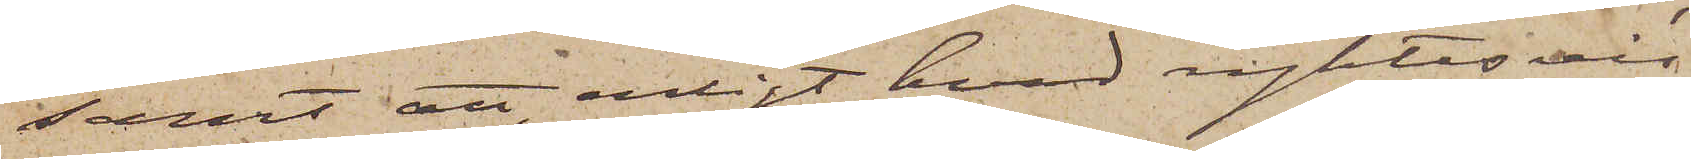samt att, enligt hvad ryktesvis
